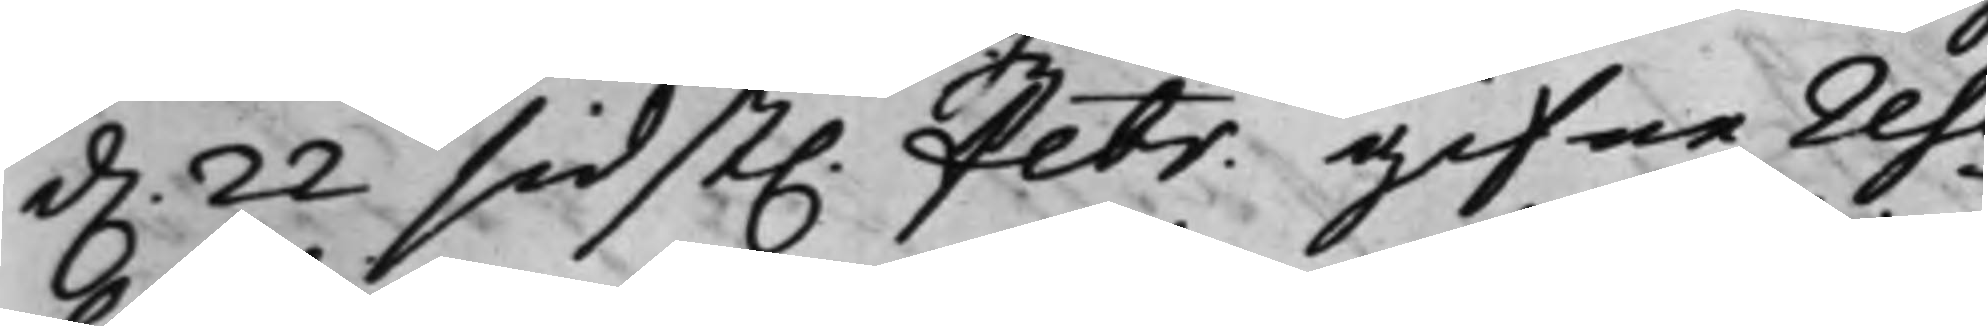d. 22 sidst. Febr. gifne reso¬
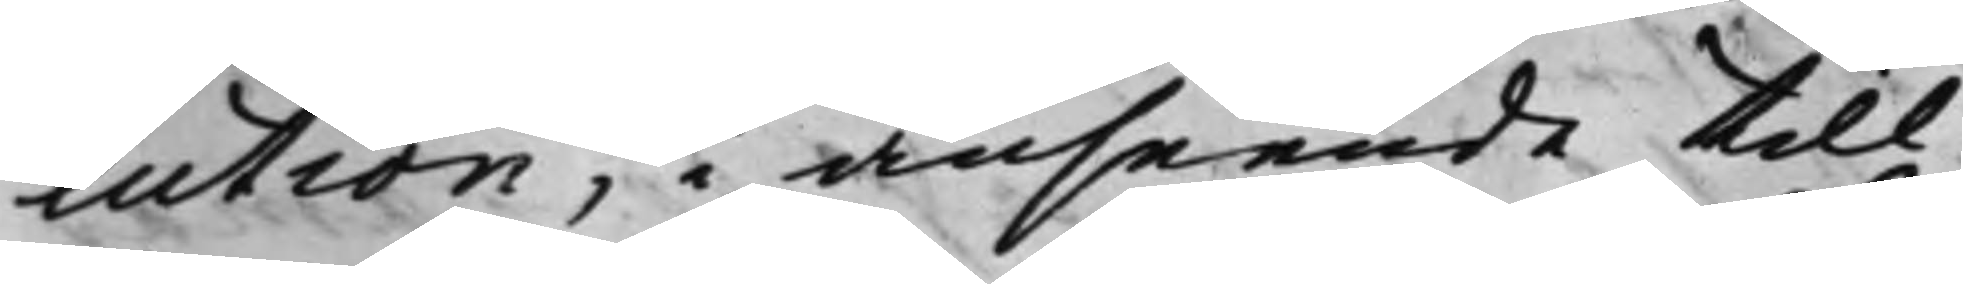lution, i anseende till
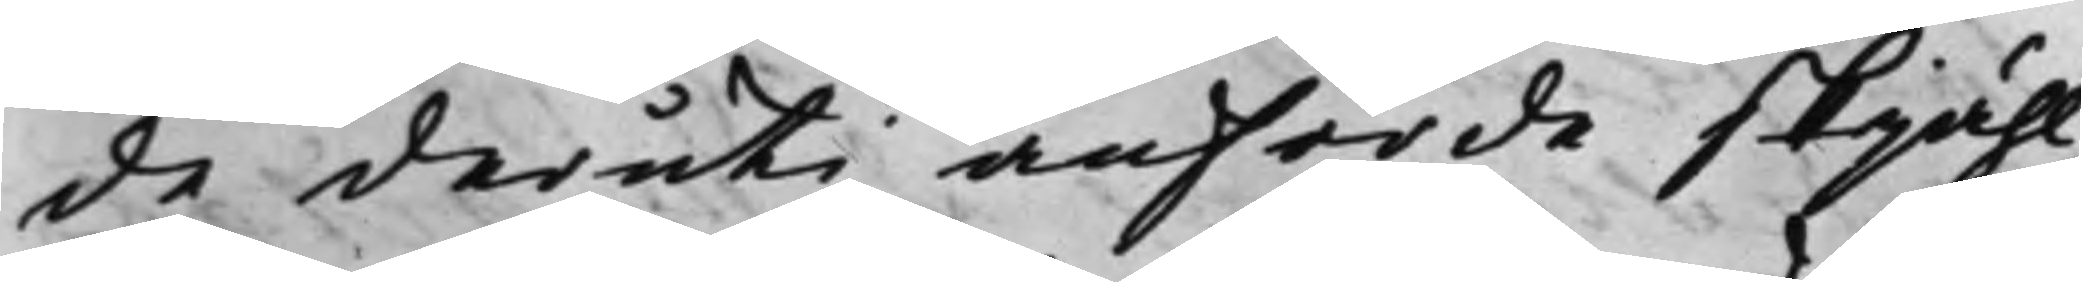de deruti anförde skjähl
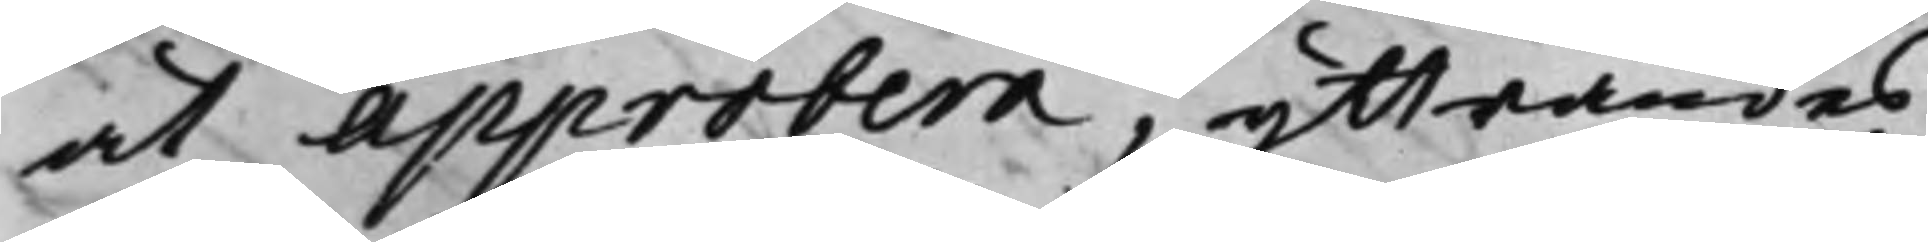at approbera, yttrandes
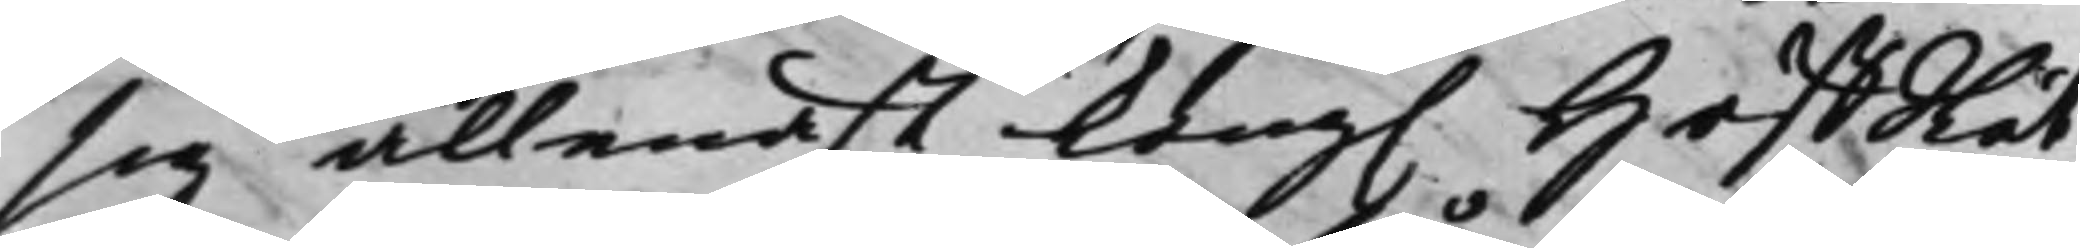sig allenast Kong. HoffRät¬
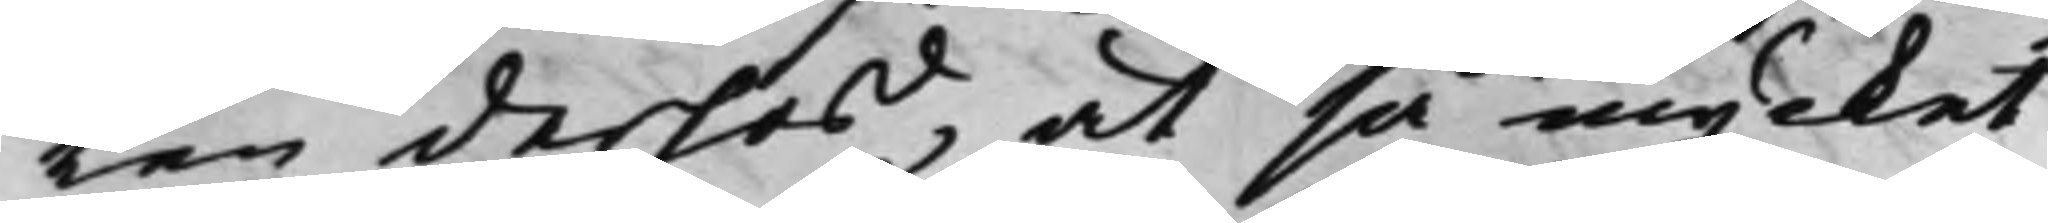ten derhos, at så mycket
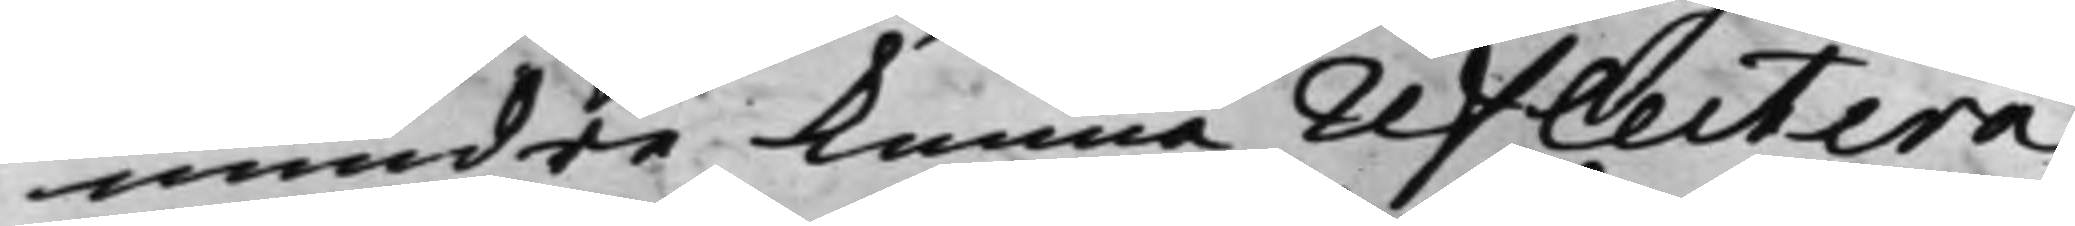mindre kunna reflectera
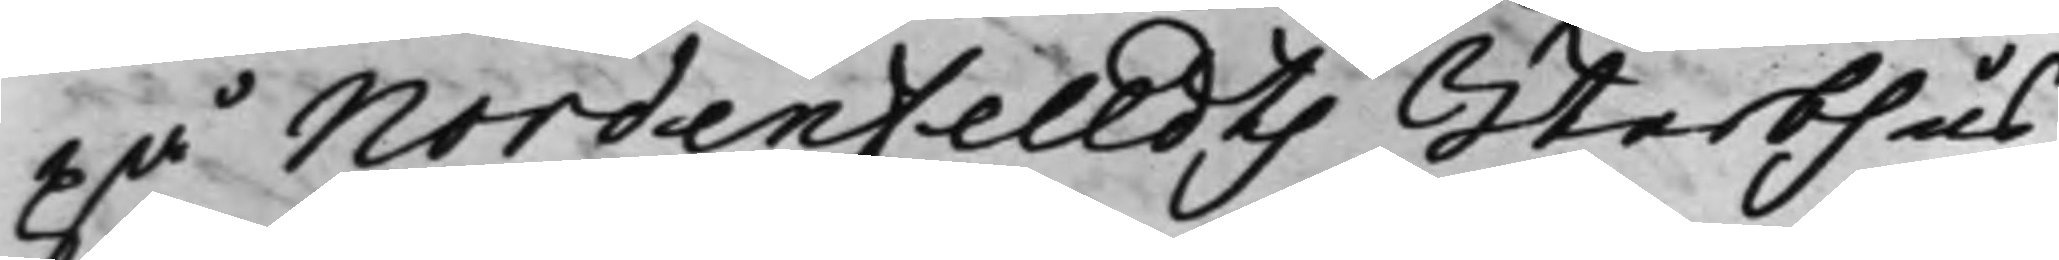på Nordenfelldts Sterbhus¬
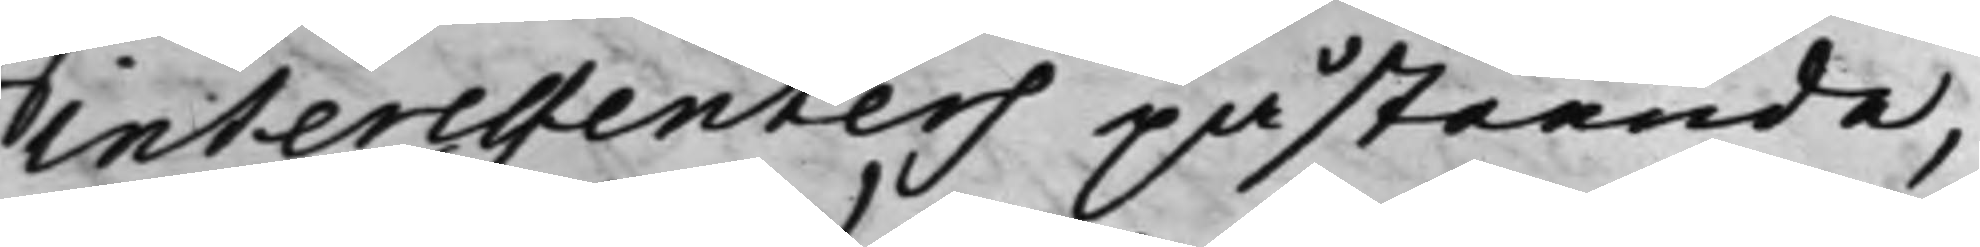interessenters påstående,
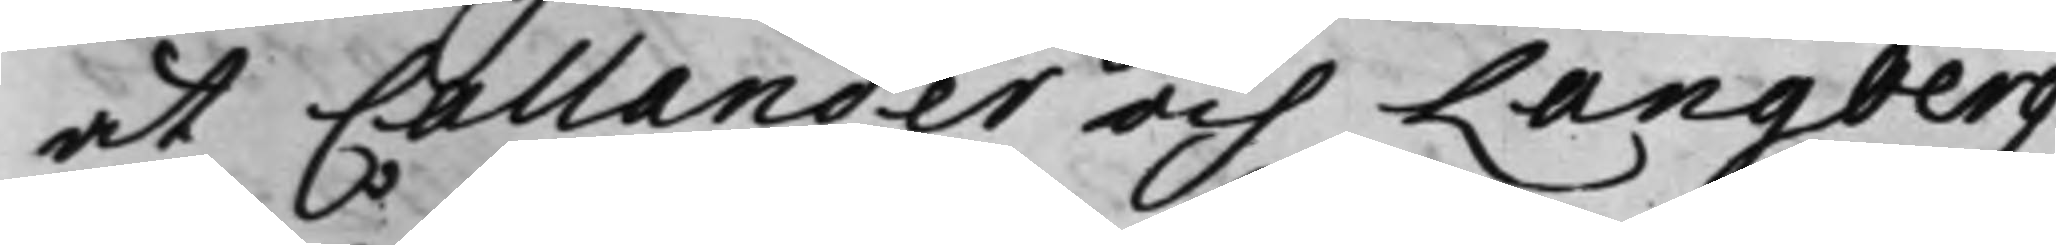at Callander och Langberg
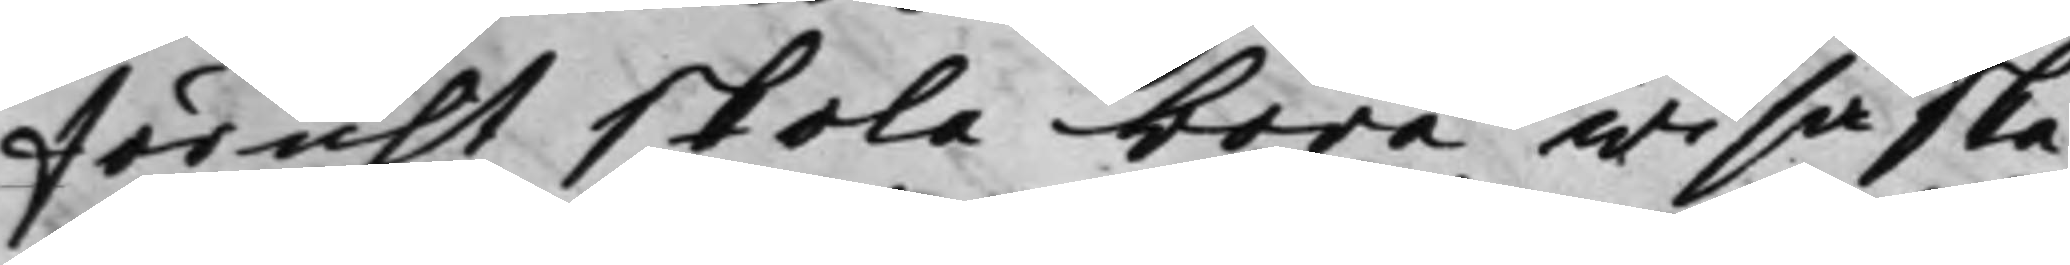förut skola böra wisa ska¬
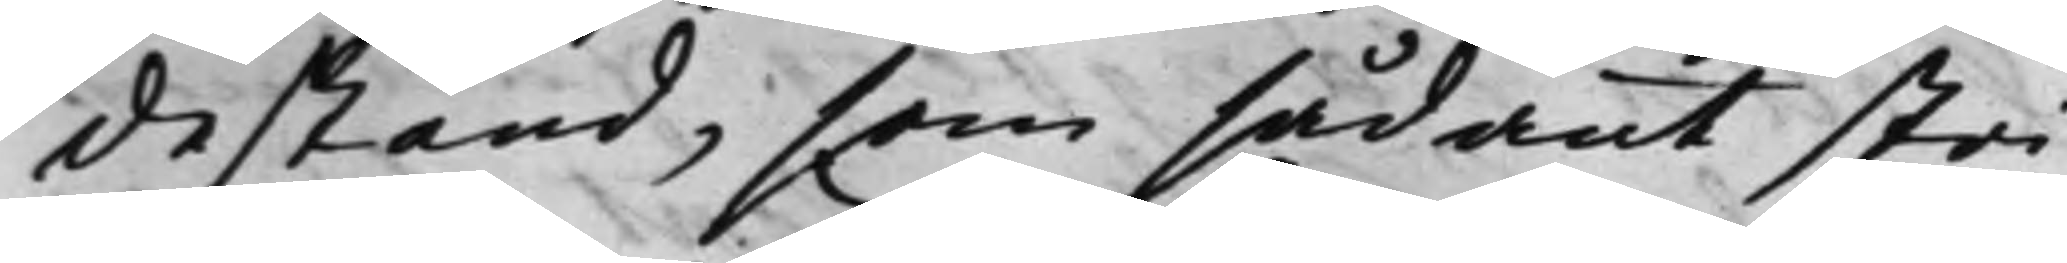destånd, som sådant stri¬
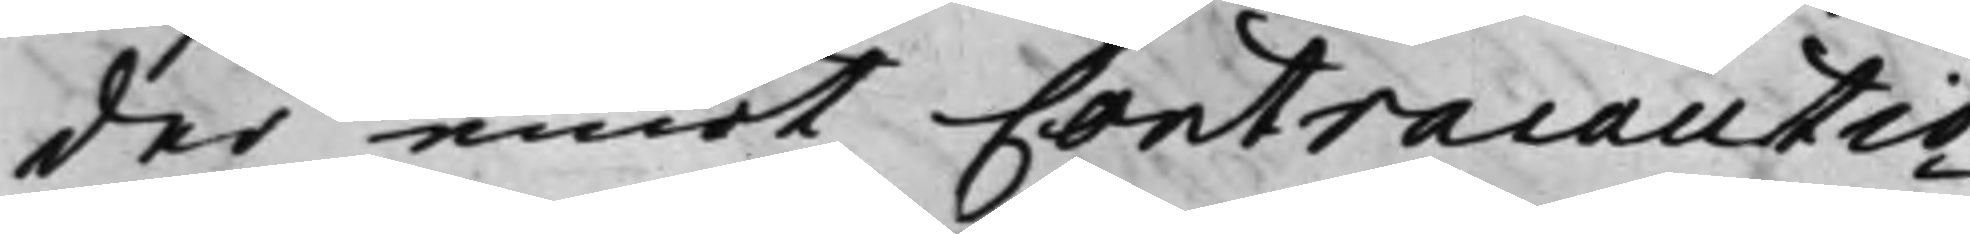der emot Contracautio¬
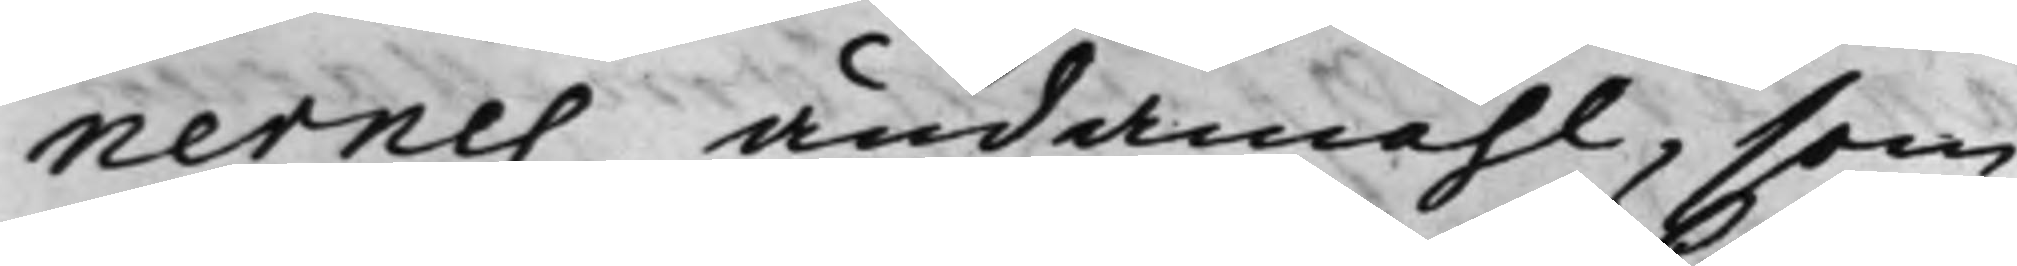nernes ändamåhl, som
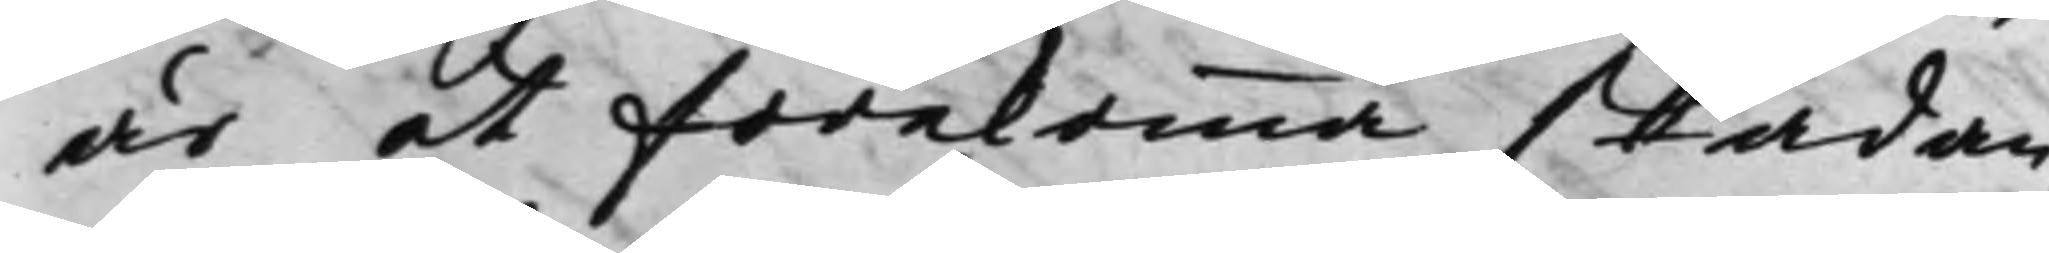är at förekomma skadan,
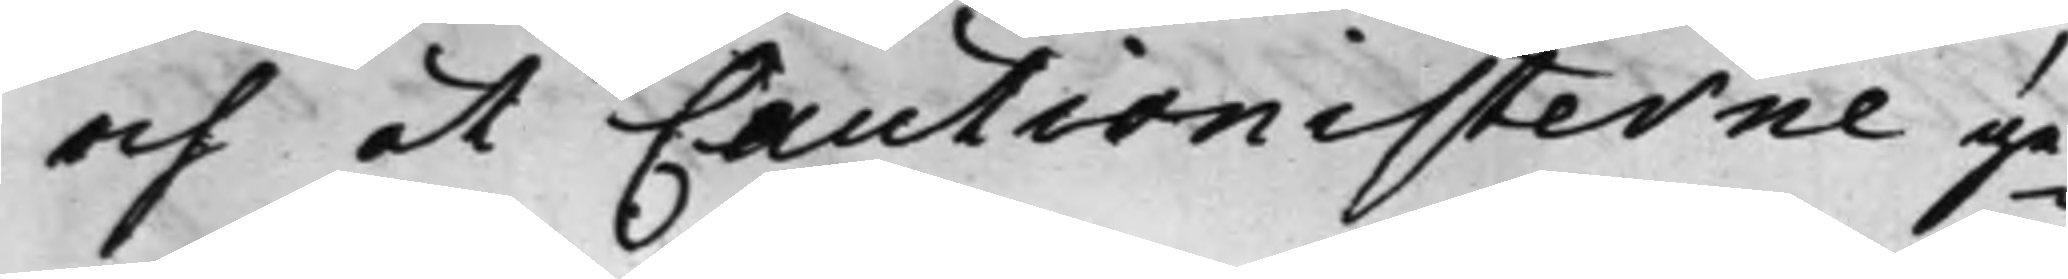och at Cautionisterne ge¬
